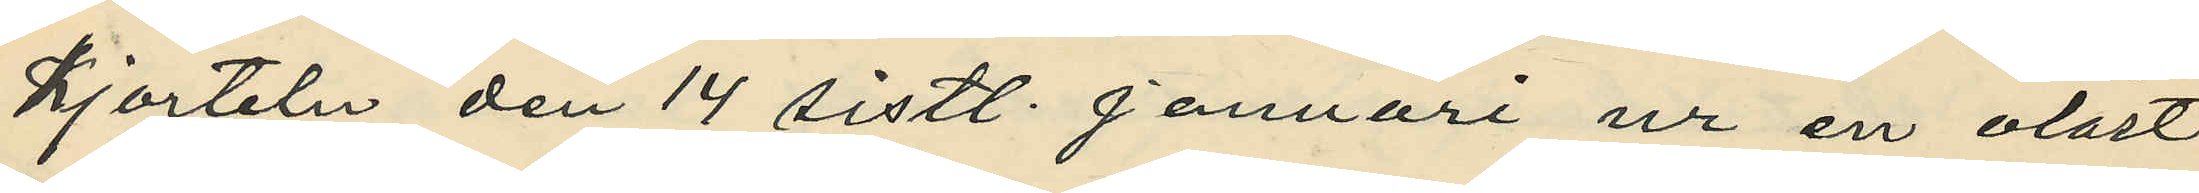kjorteln den 14 sistl. Januari ur en olåst
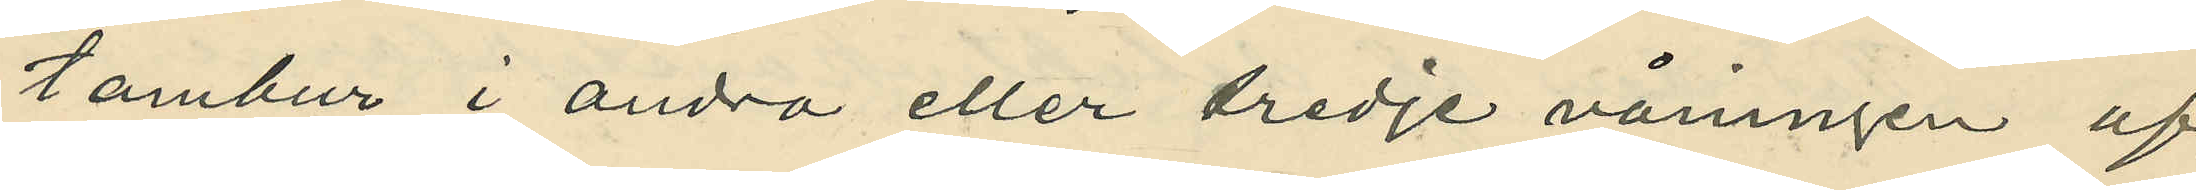tambur i andra eller tredje våningen af
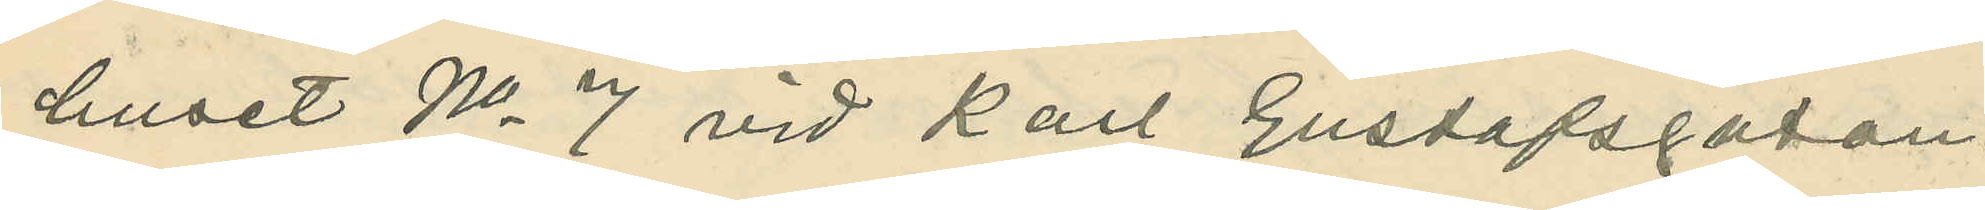huset No 7 vid Karl Gustafsgatan.
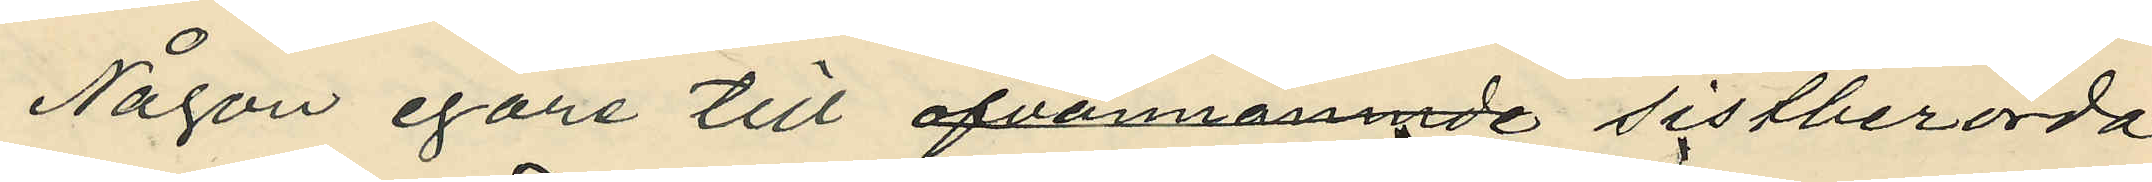Någon egare till ofvannämnde sistberörda
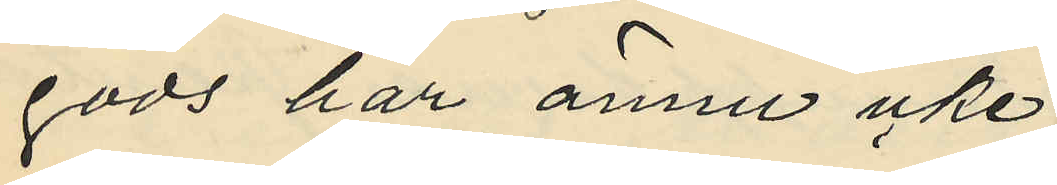gods har ännu icke
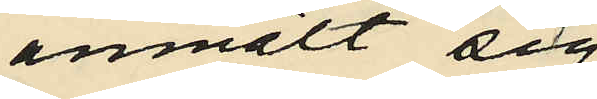anmält sig.
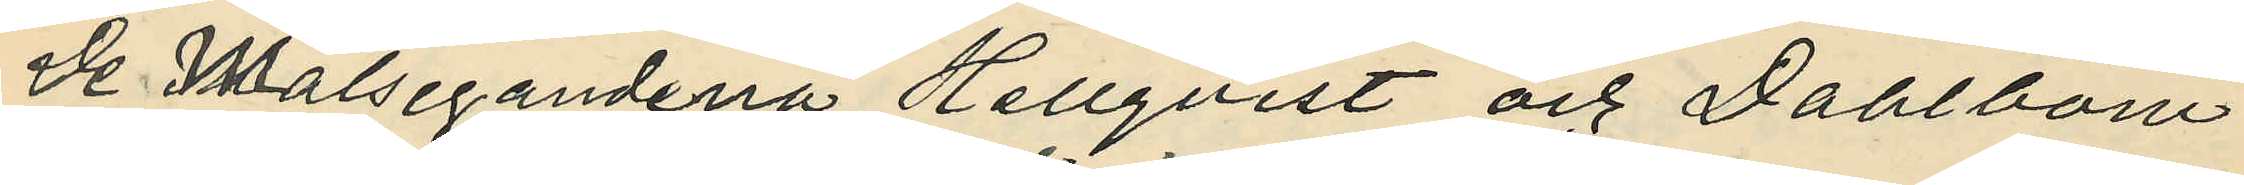De Målsegandena Hellqvist och Dahlbom
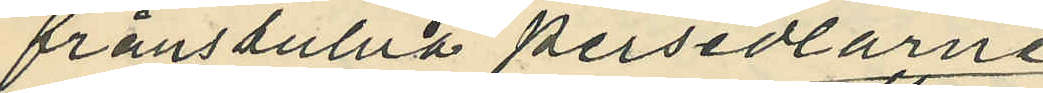frånstulna persedlarne
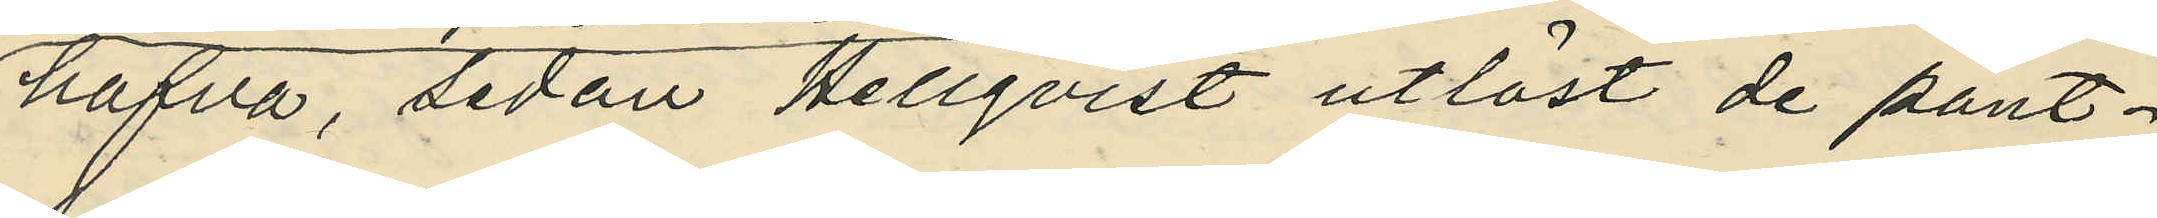hafva, sedan Hellqvist utlöst de pant¬
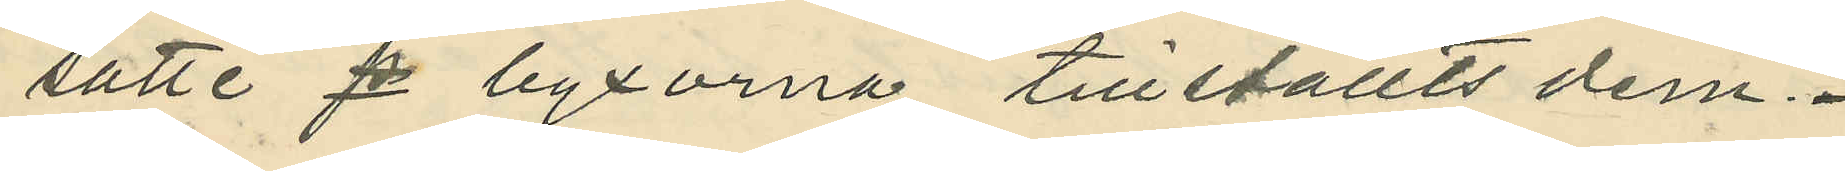satte p byxorna, tillställts dem.
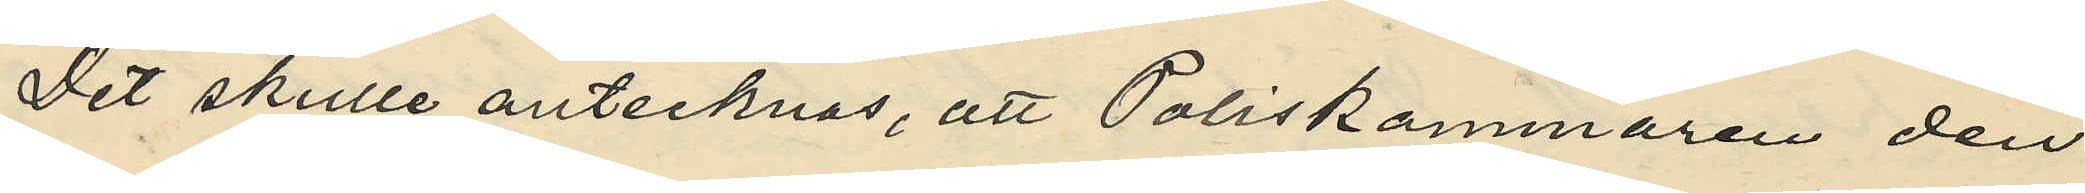Det skulle antecknas, att Poliskammaren den
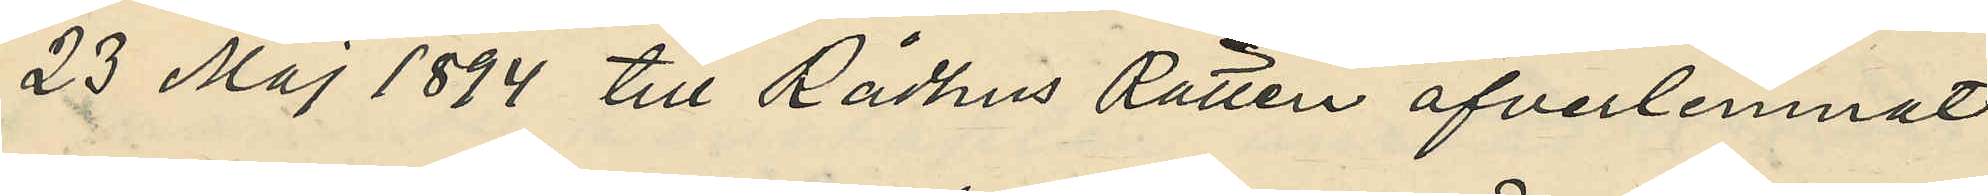23 Maj 1894 till Rådhus Rätten öfverlemnat
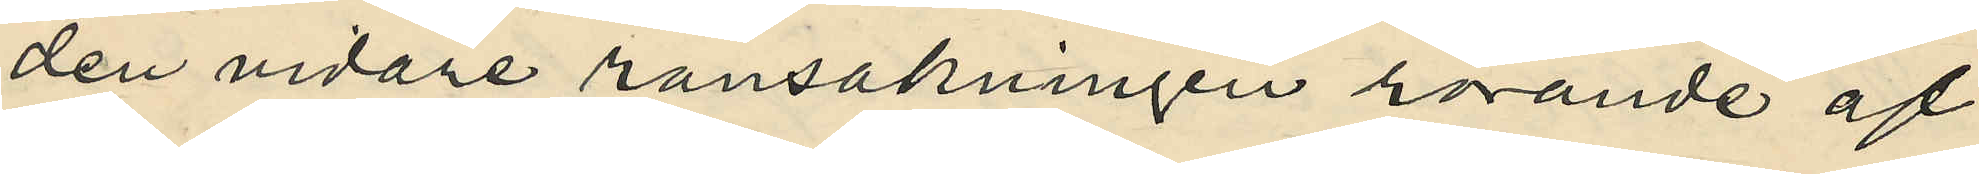den vidare ransakningen rörande af
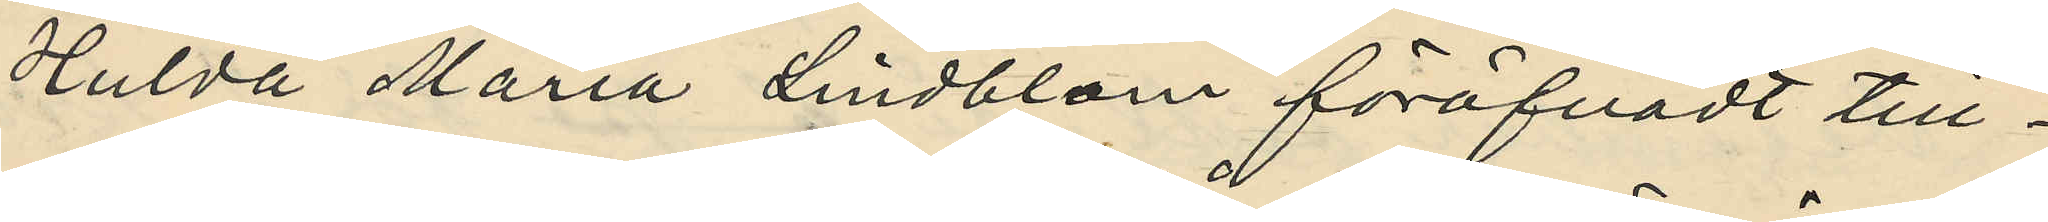Hulda Maria Lindblom föröfvadt till¬
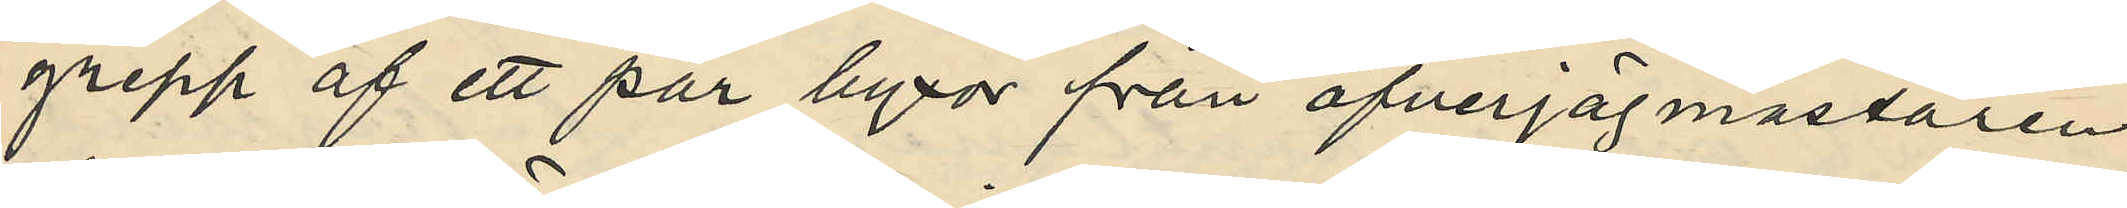grepp af ett par byxor från öfverjägmästaren
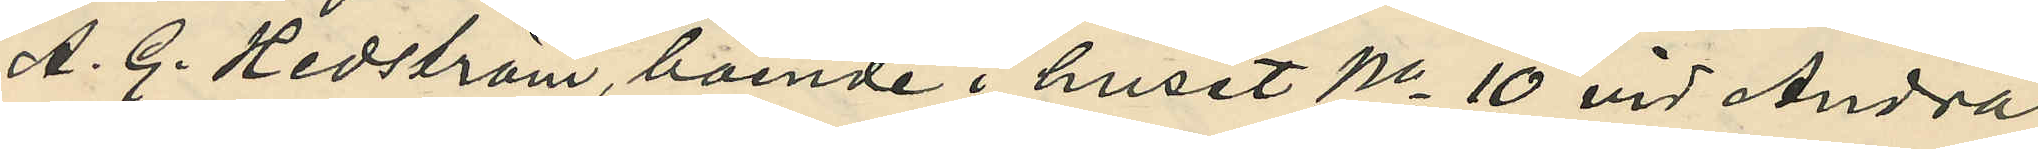A. G. Hedström, boende i huset No 10 vid Andra
